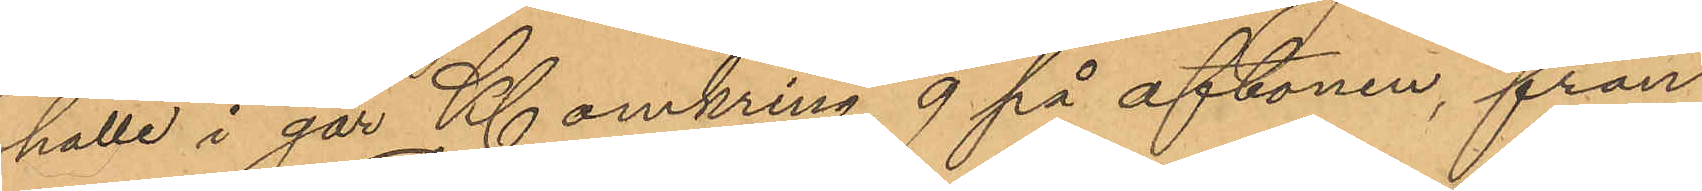hålle i går Kl omkring 9 på aftonen, från
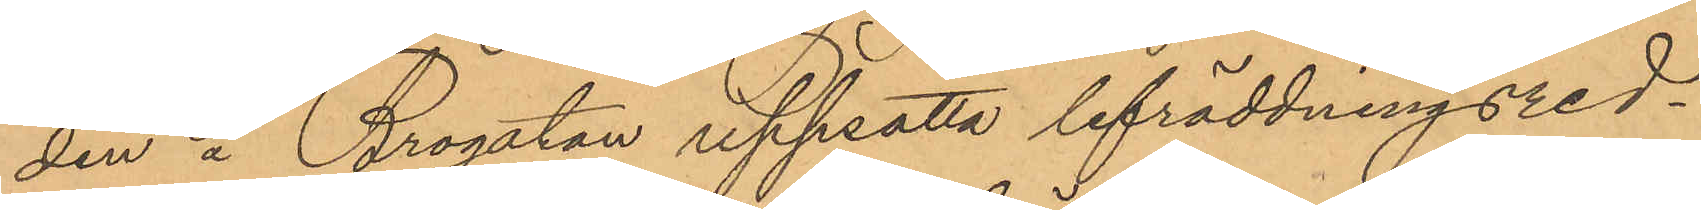den å Brogatan uppsatta lifräddningsred¬
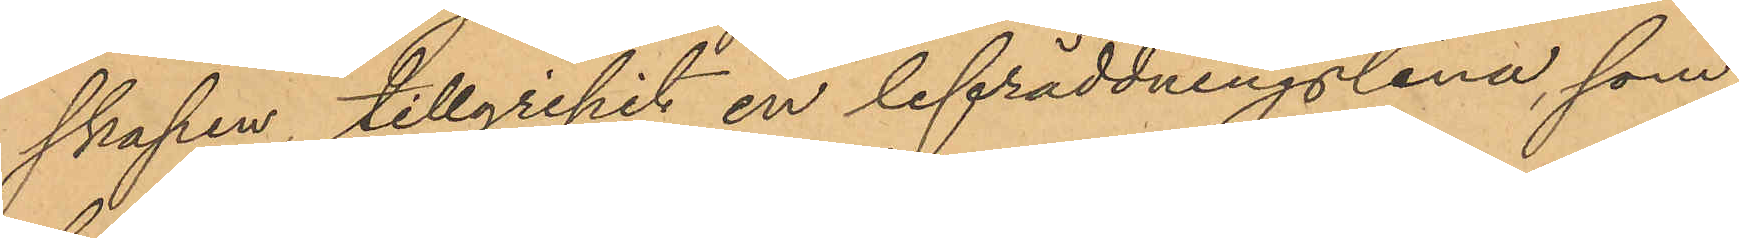skapen, tillgripit en lifräddningslina, som
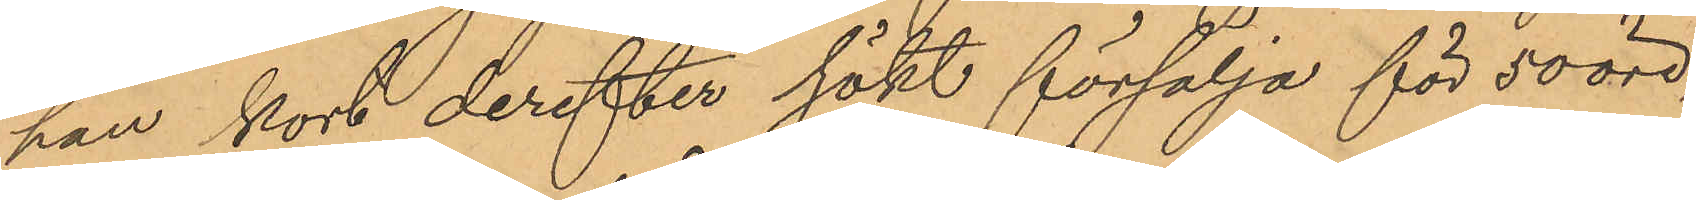han kort derefter sökt försälja för 50 öre,
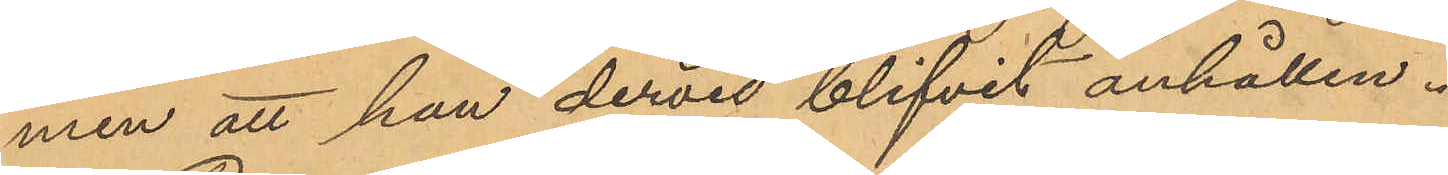men att han dervid blifvit anhållen.
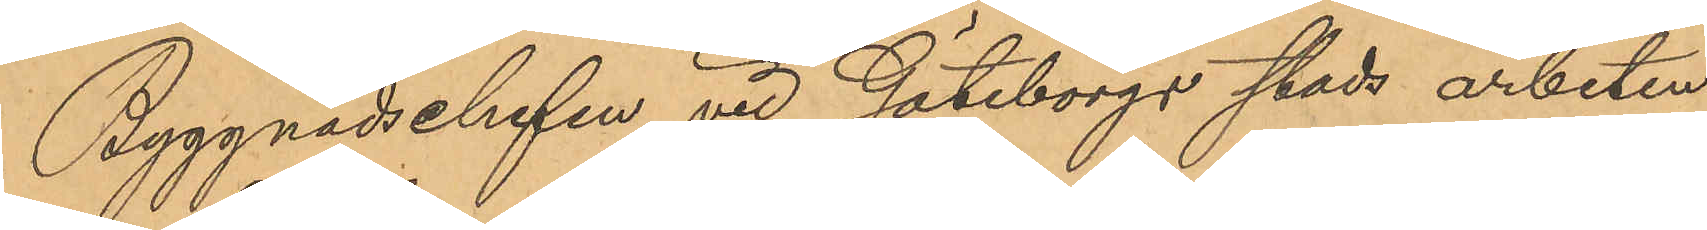Byggnadschefen vid Göteborgs stads arbeten
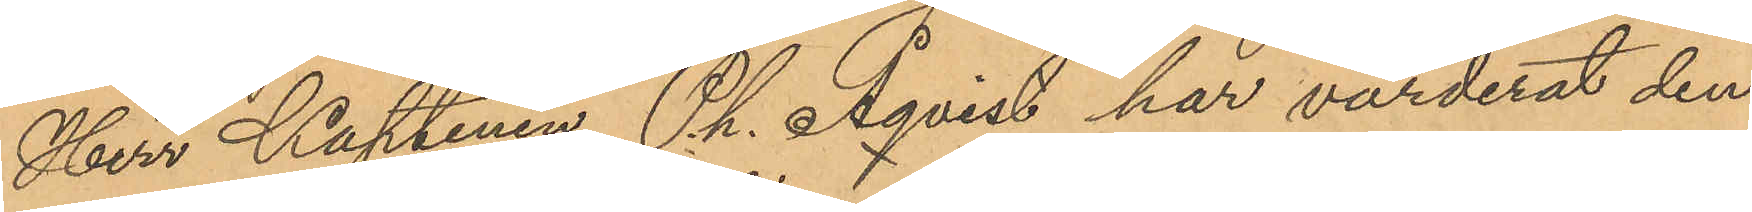Herr Kaptenen Ph. Åqvist har värderat den
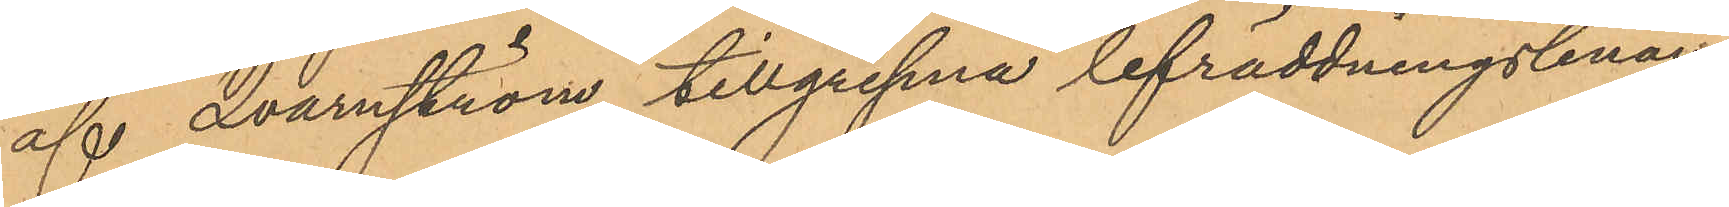af Qvarnström tillgripna lifräddningslinan
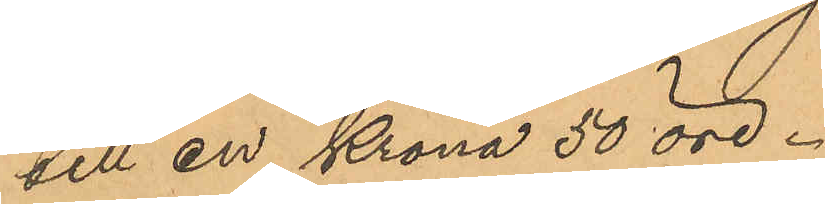till en krona 50 öre.
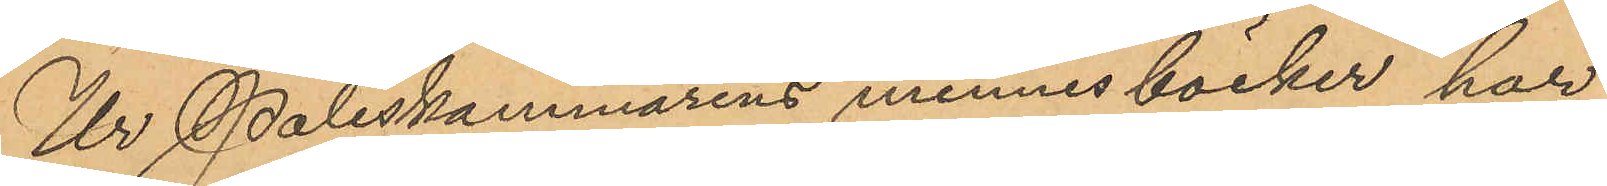Ur Poliskammarens minnesböcker har
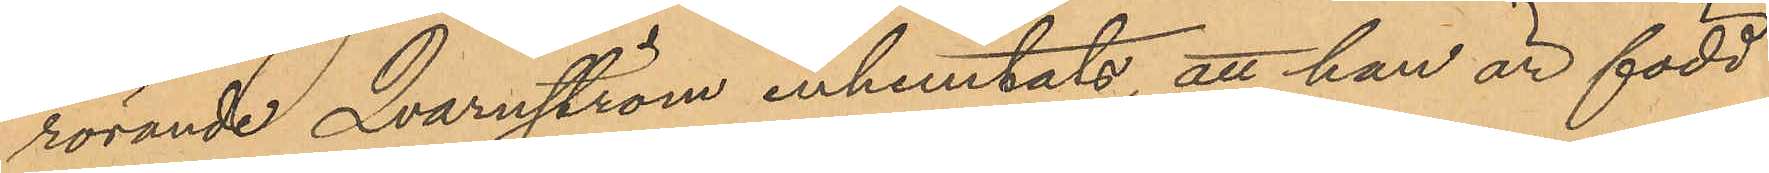rörande Qvarnström inhemtats, att han är född
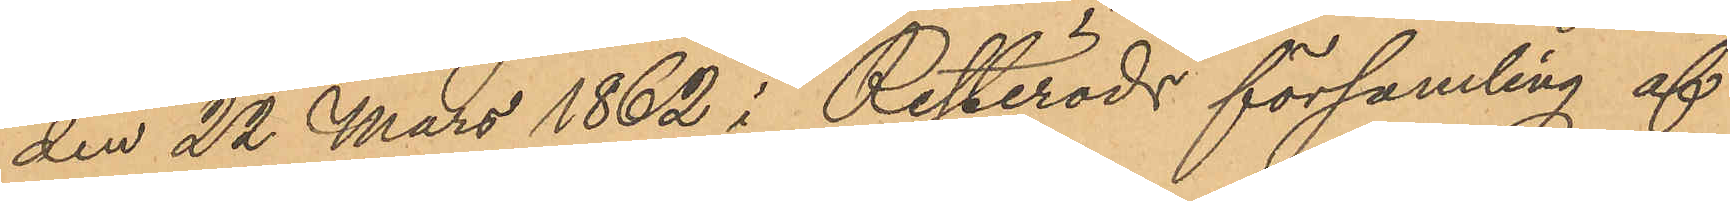den 22 Mars 1862 i Resteröds församling af
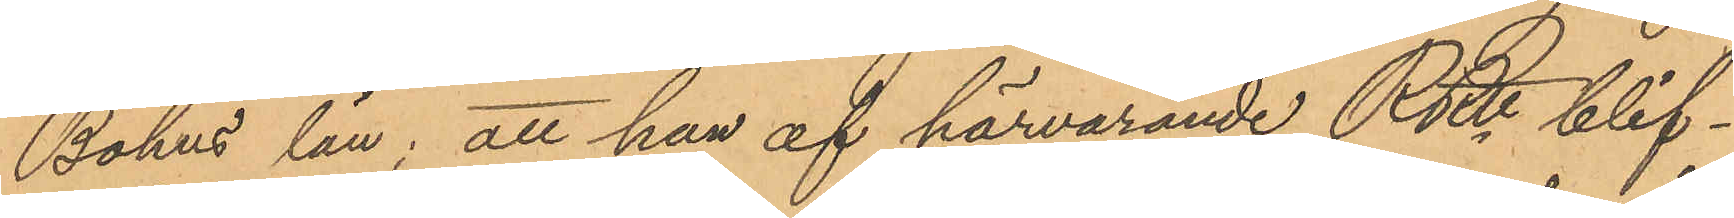Bohus län; att han af härvarande RRtt blif¬
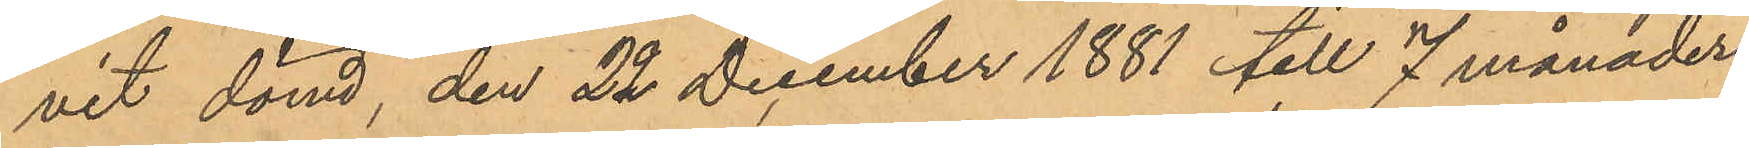vit dömd, den 22 December 1881 till 7 månaders
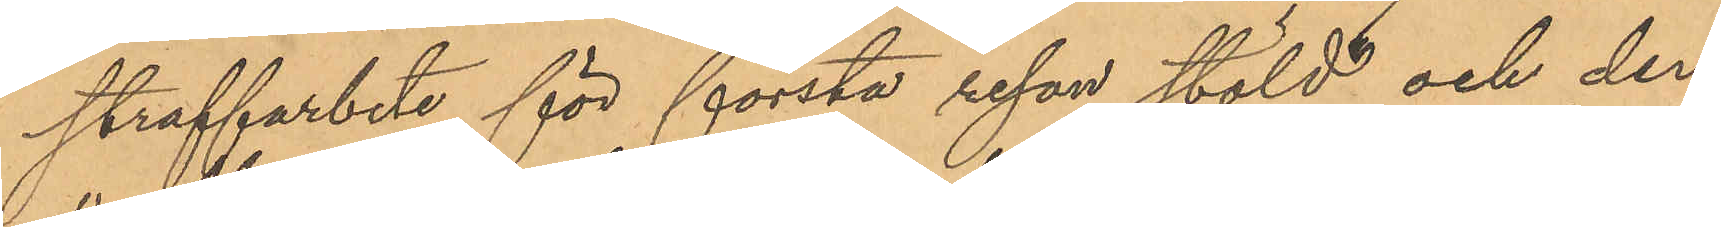straffarbete för första resan stöld och den
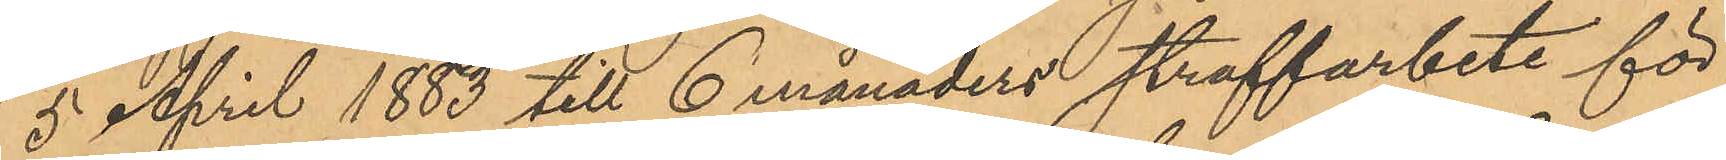5 April 1883 till 6 månaders straffarbete för
